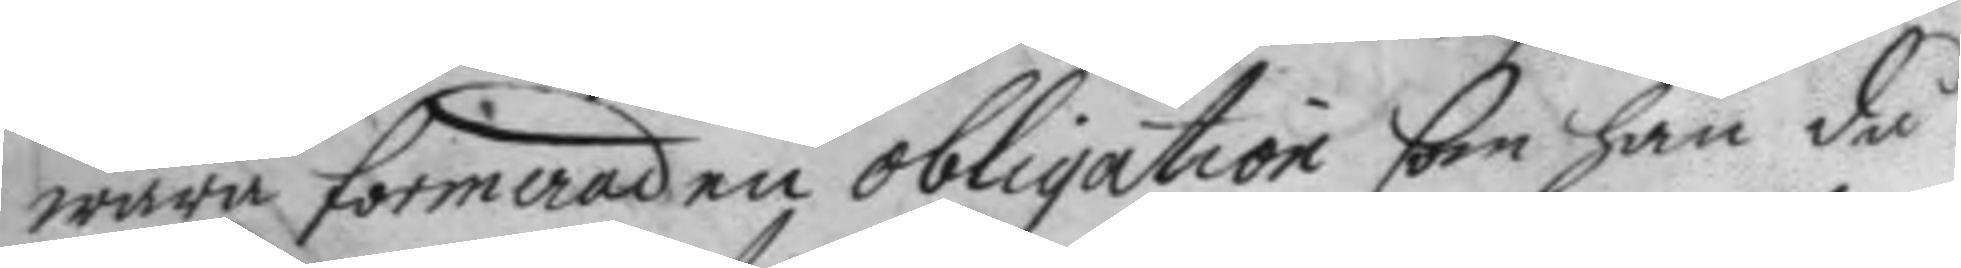wara formerad en obligation som han då
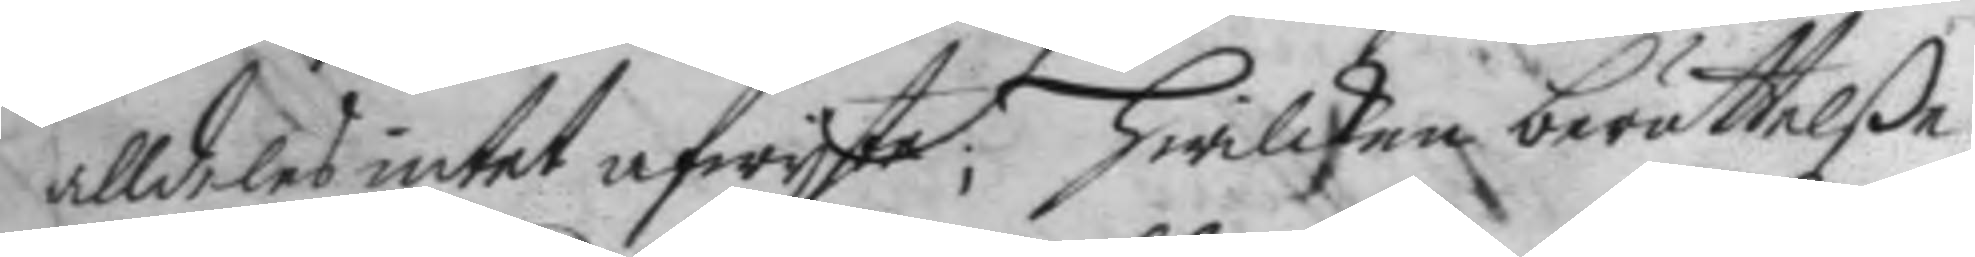alldeles intet afwyste; Hwilken berättelße
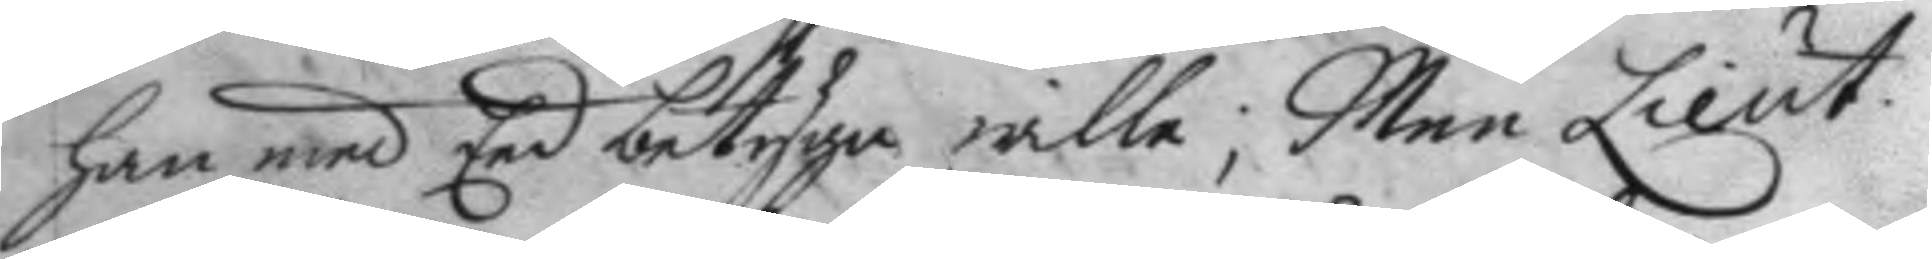han med Eed betyga wille; Men Lieut.
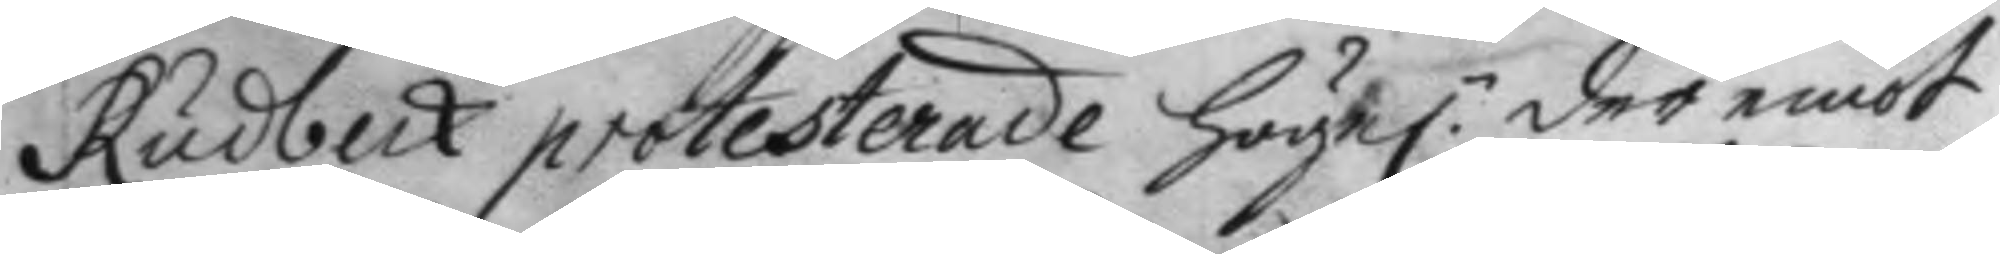Rudbeck protesterade höge: der emot 
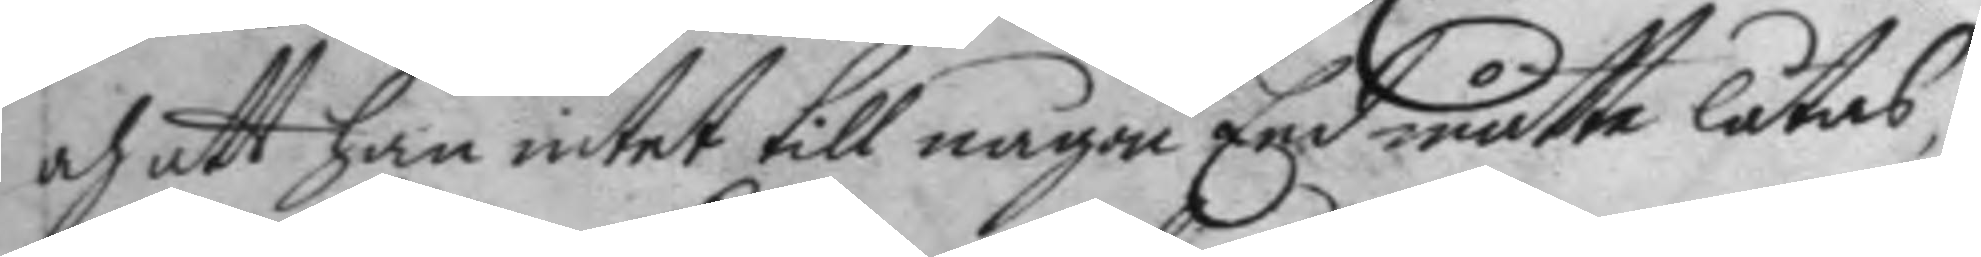och att han intet till någon Eed måtte låtas,
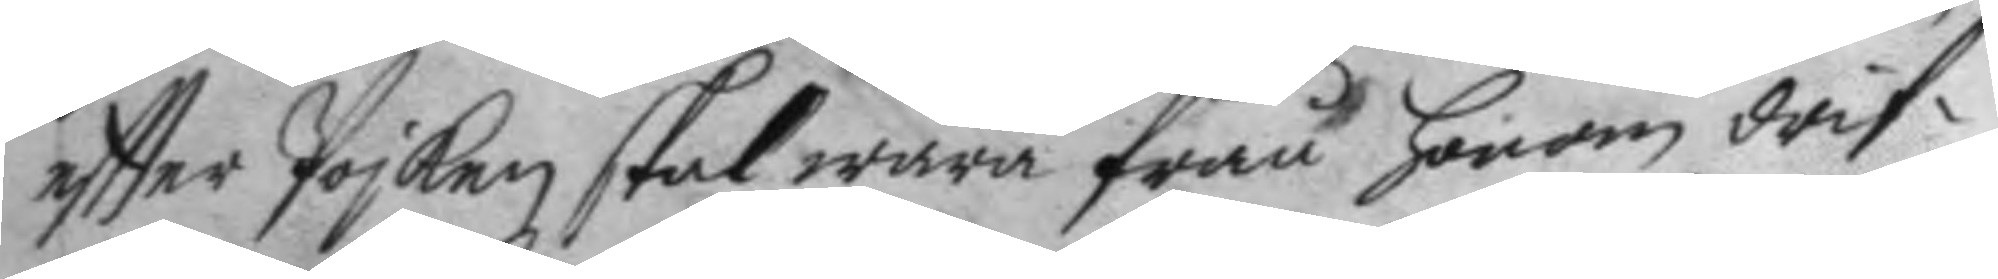effter Pojken skal wara från Honom drif¬
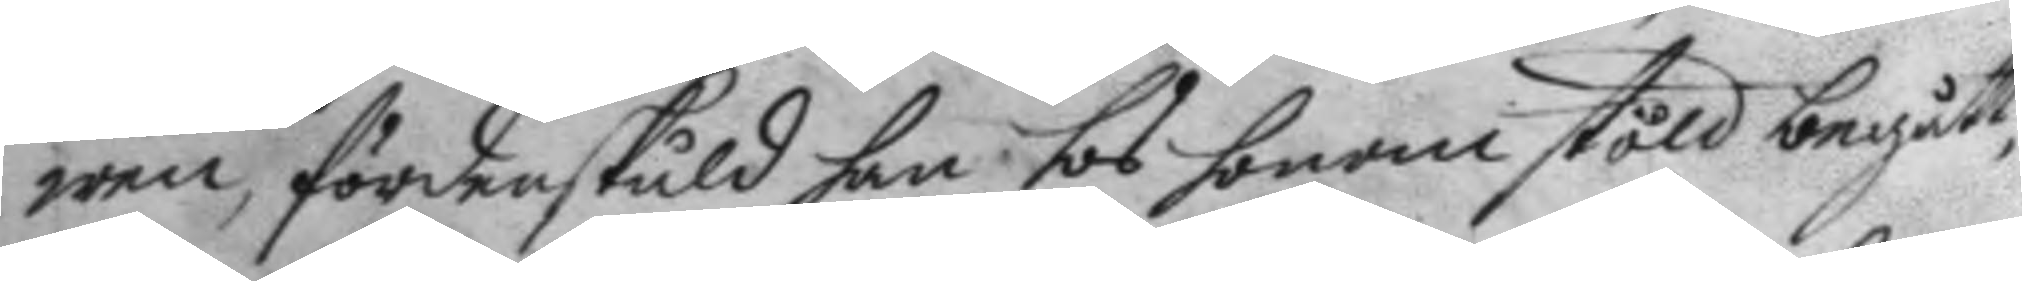wen, fördenskuld han hos honom stöld begått,
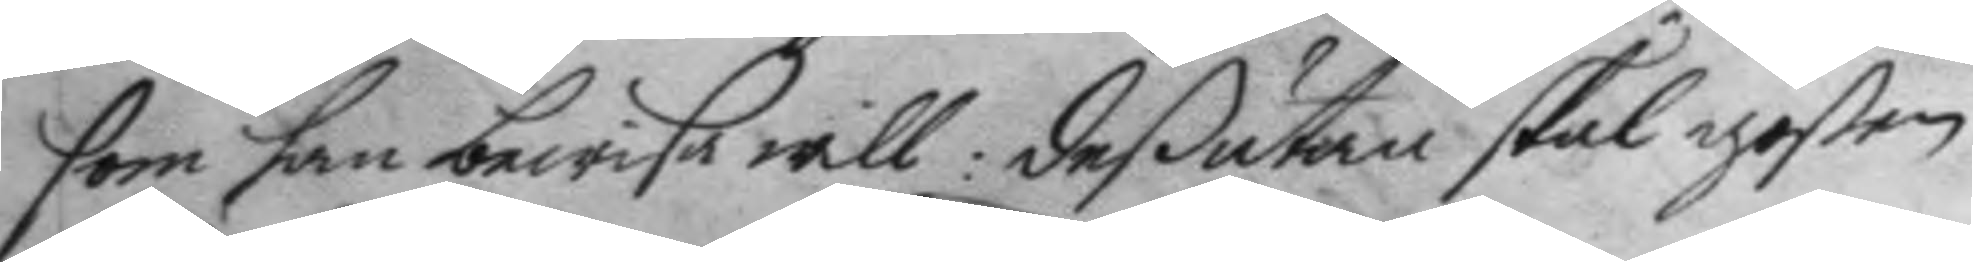som han bewisa will: deßutan skal goßen
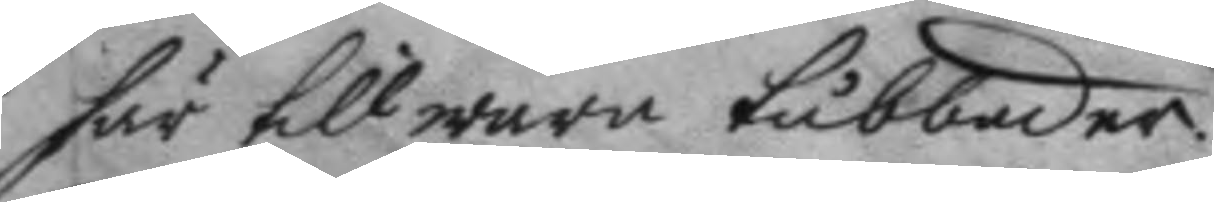här till wara tubbader.
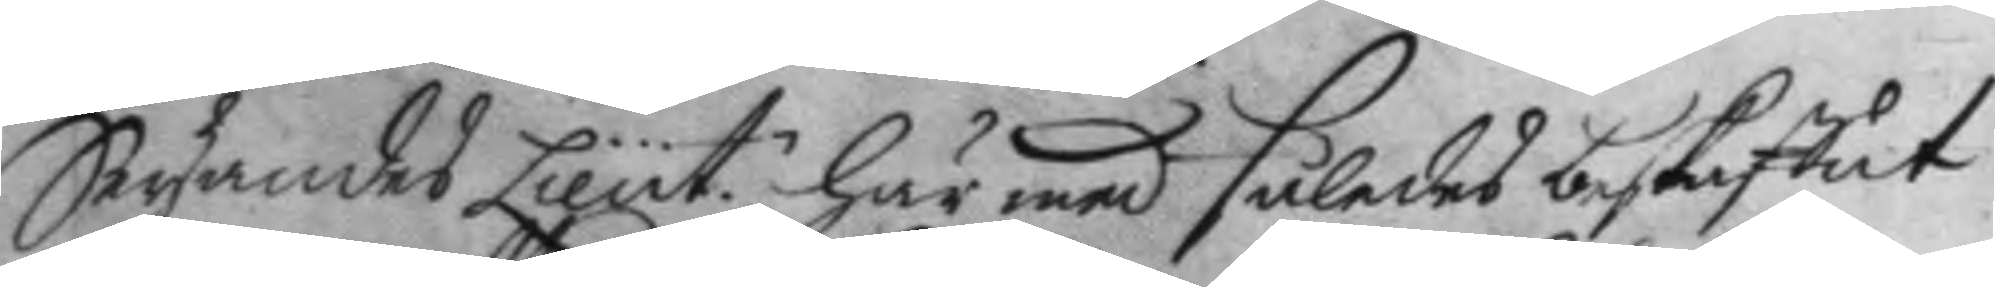Säyandes Lieut: här med således beskaffat 
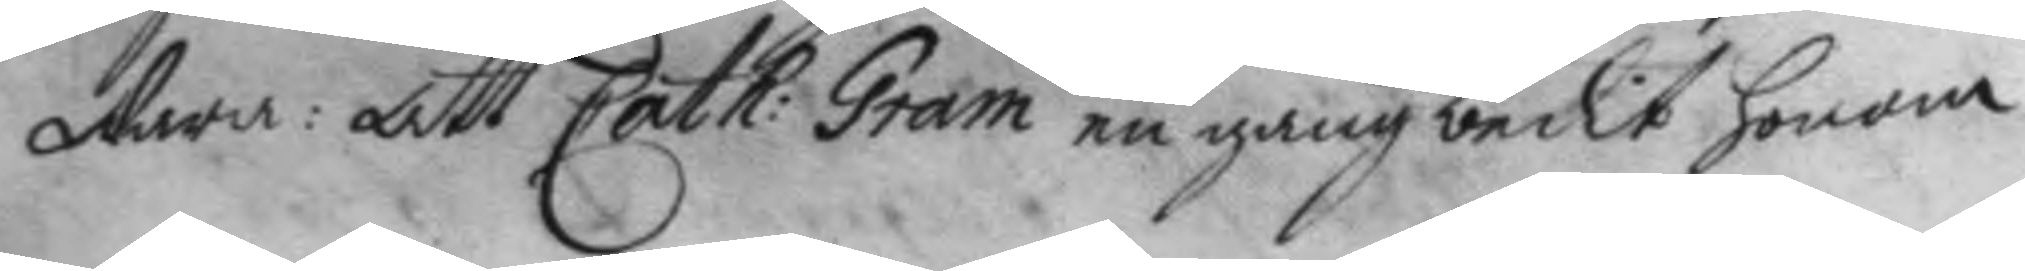wara: Att Cath: Gram en gång bedit honom 
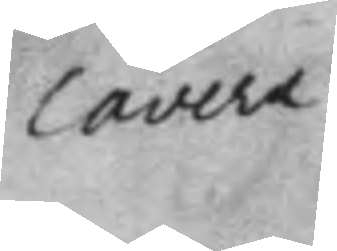cavera
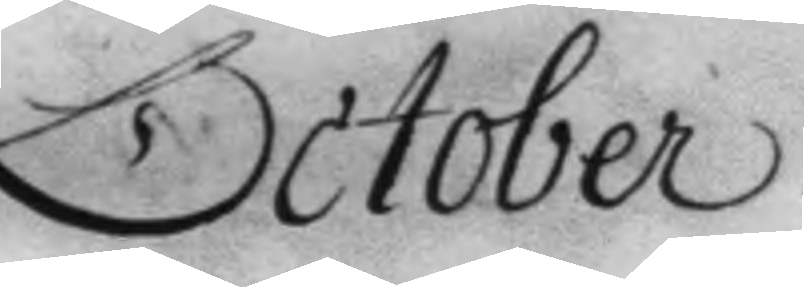October.
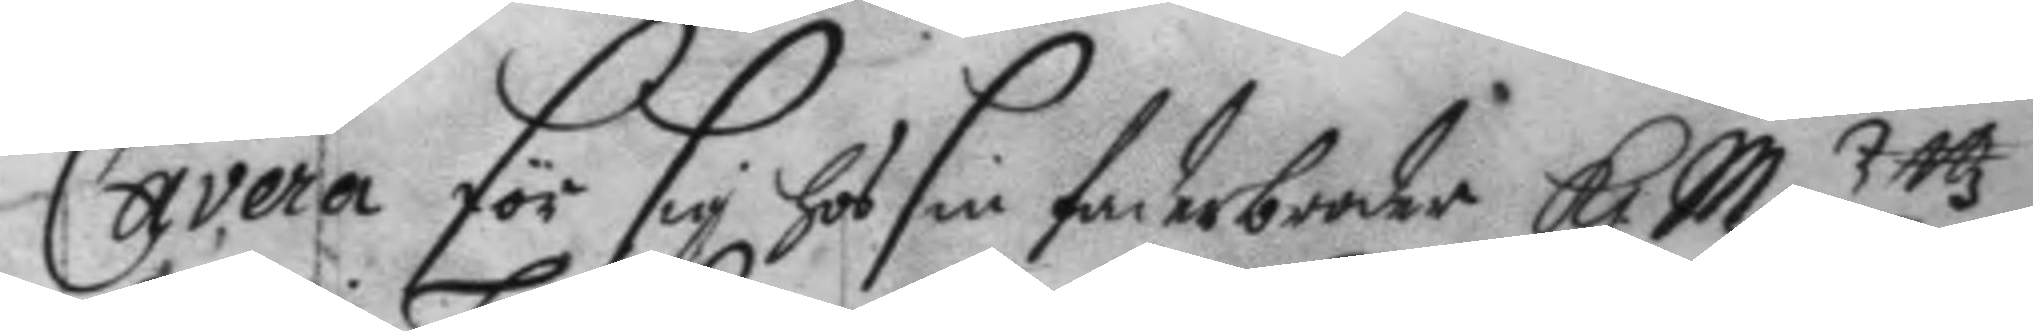Cavera för sig ha sin faderbroder K. May:ttz 
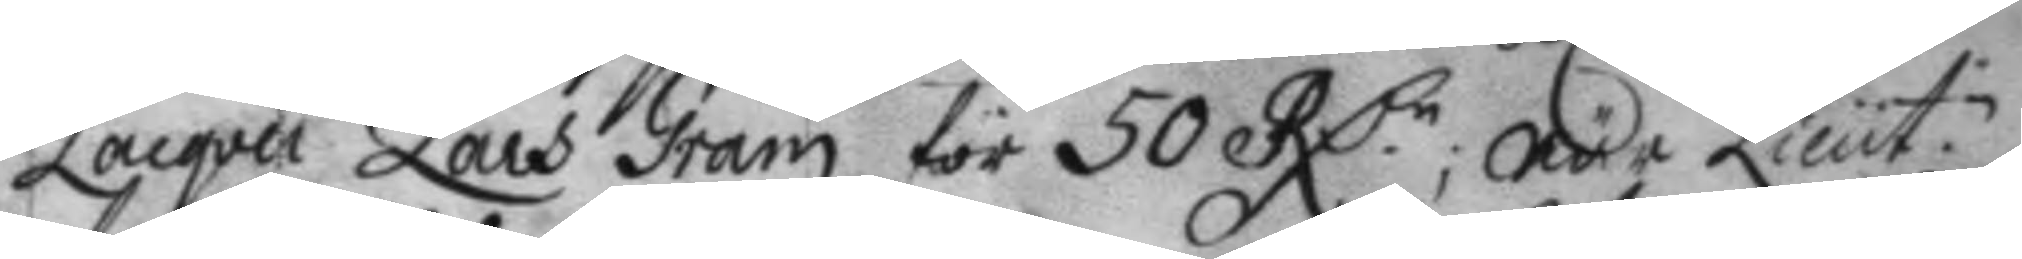Lacqvei Lars Gram för 50 RD.r, när Lieut: 
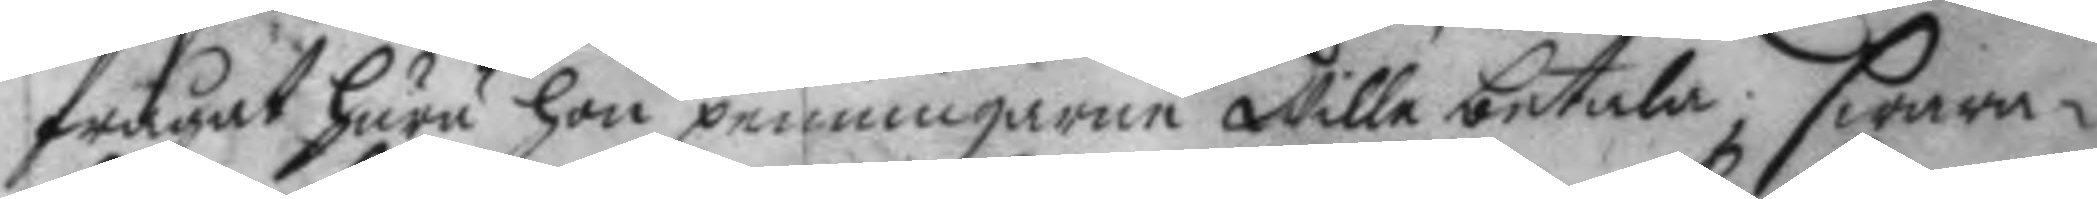frågat huru hon penningarne Wille betala; swara¬
